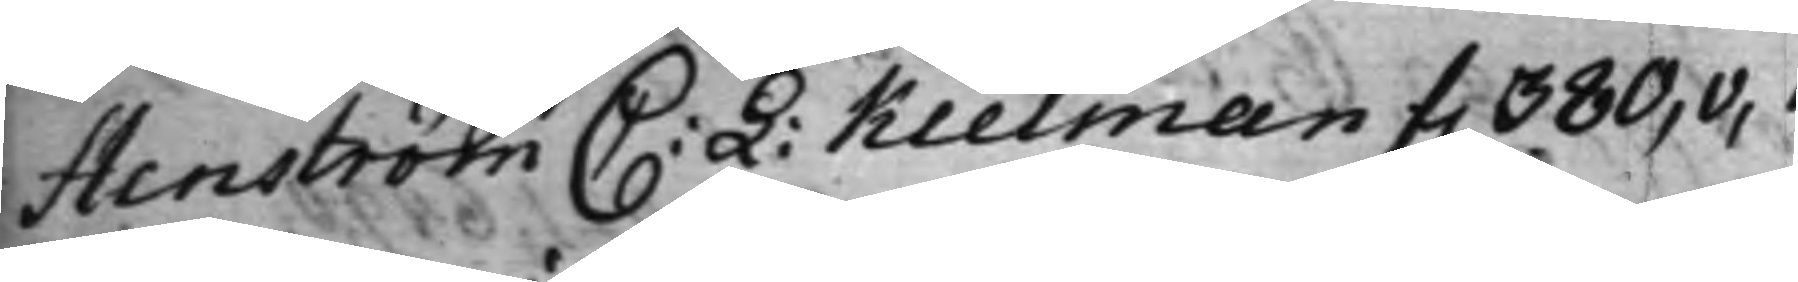Stenström C: L: Kielman f. 380,v,
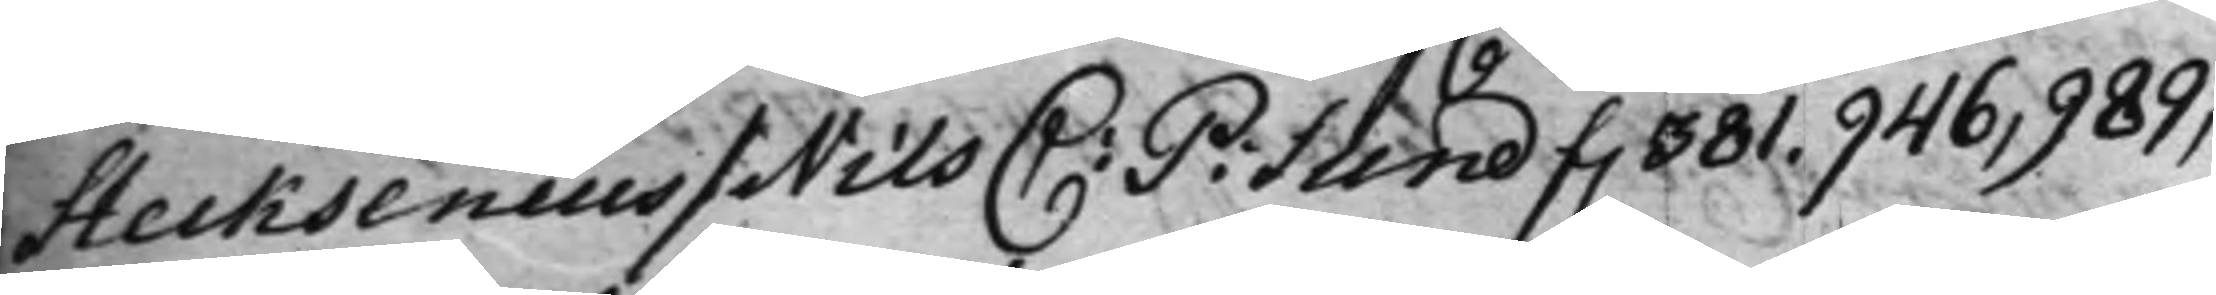Stecksenius / Nils C: P: Sund f. 381. 946, 989,
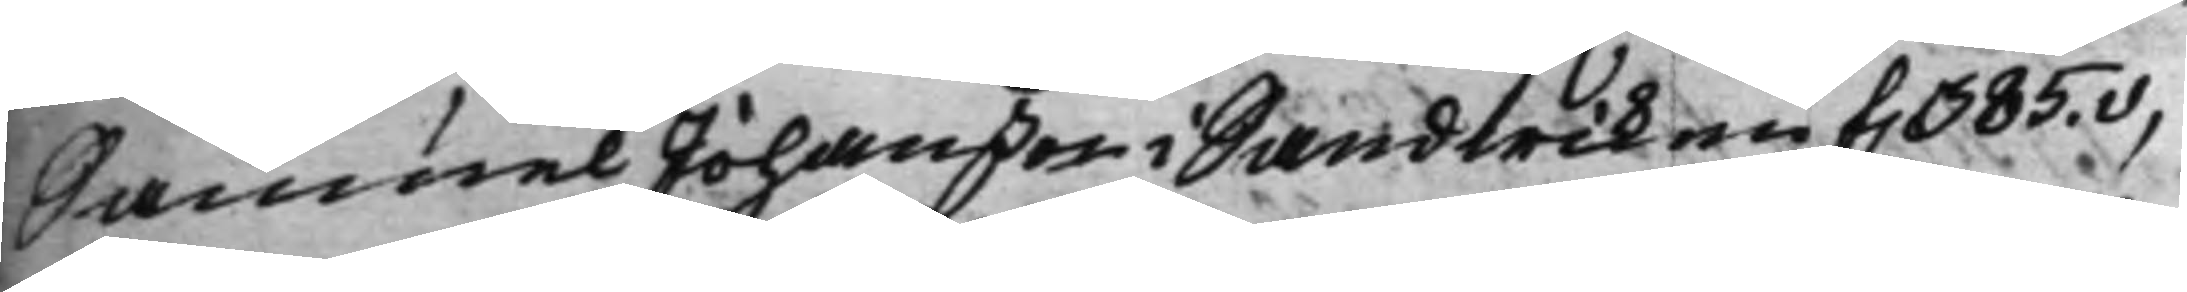Samuel Johanßon i Sandwiken f. 385.v,
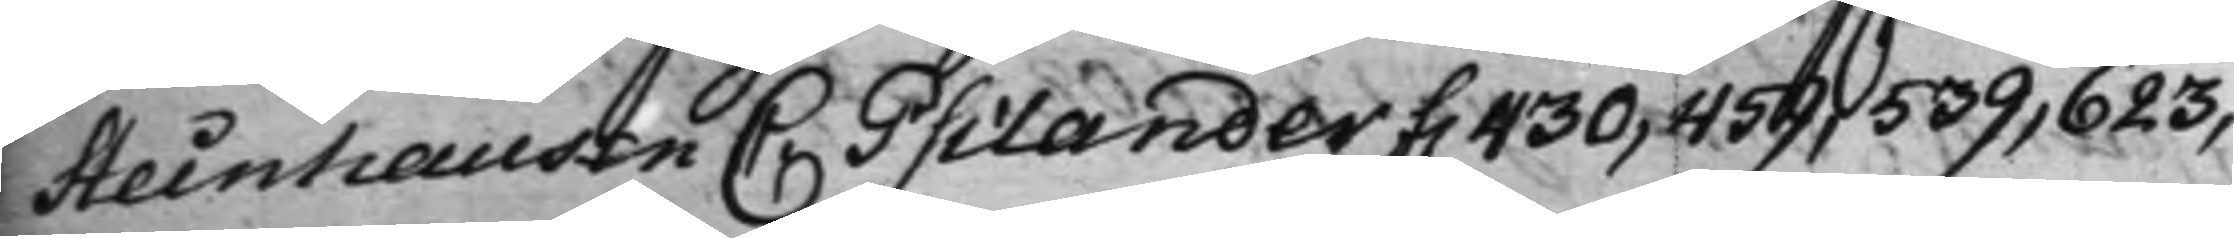Steinhausen C: Psilander f. 430, 459, 539, 623,
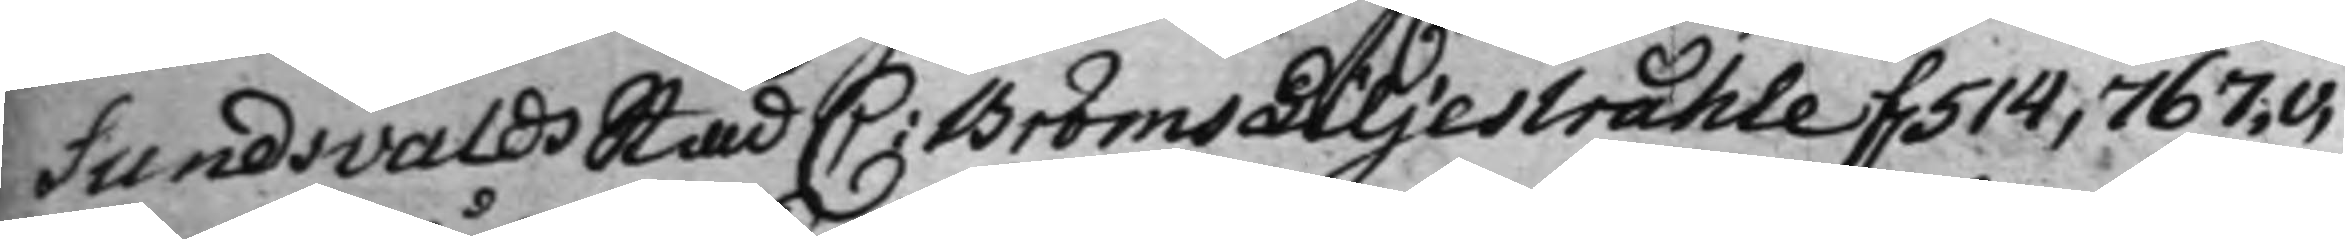Sundsvalds Stad C: Bröms Liljestråhle f. 514, 767.v,
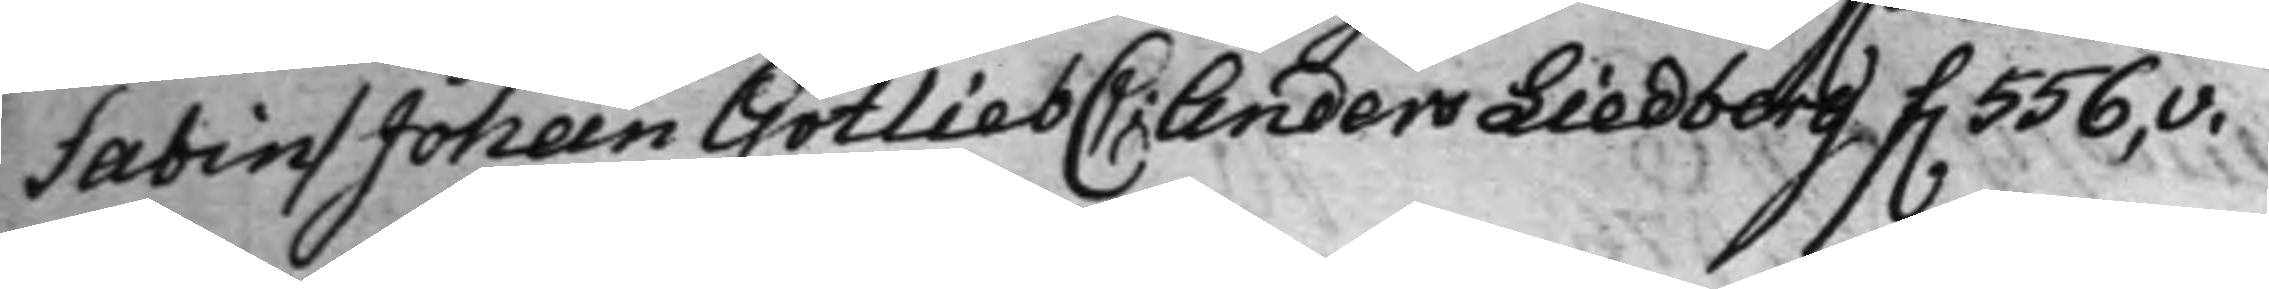Sabin / Johan Gotlieb C: Anders Liedberg f. 556,v.
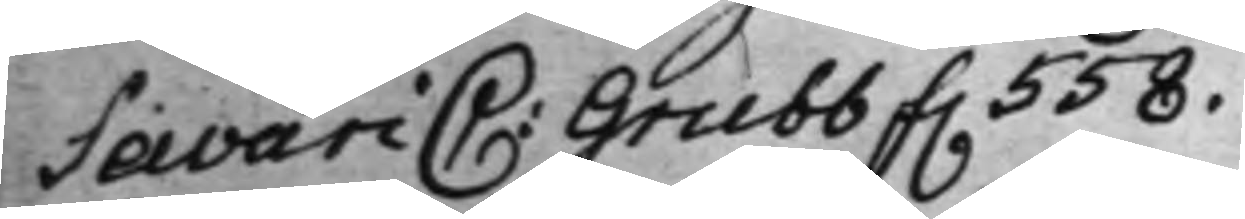Savari C: Grubb f. 558.
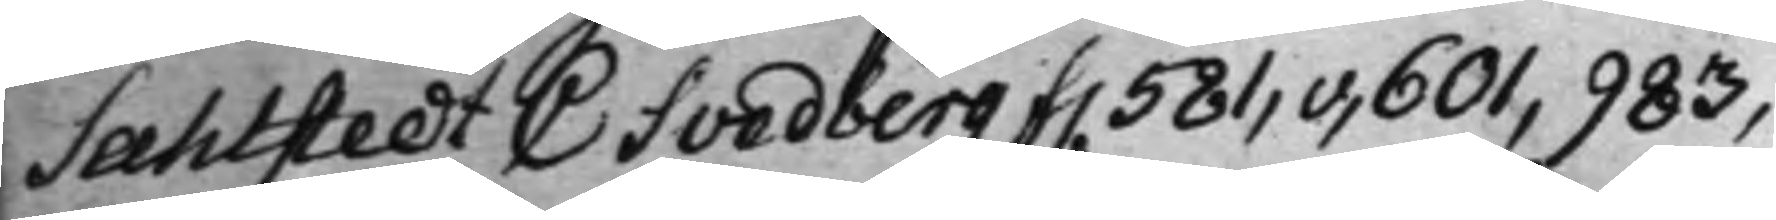Sahlstedt C Svedberg f. 581,v, 601, 983,
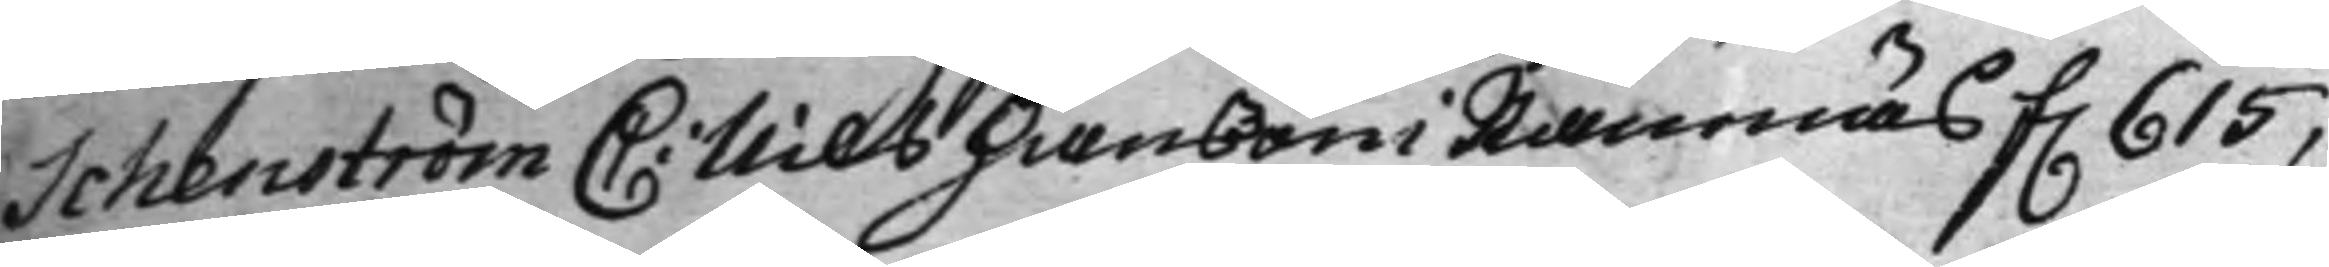Schenström C: Nils Hanßon i Ramnäs f. 615,
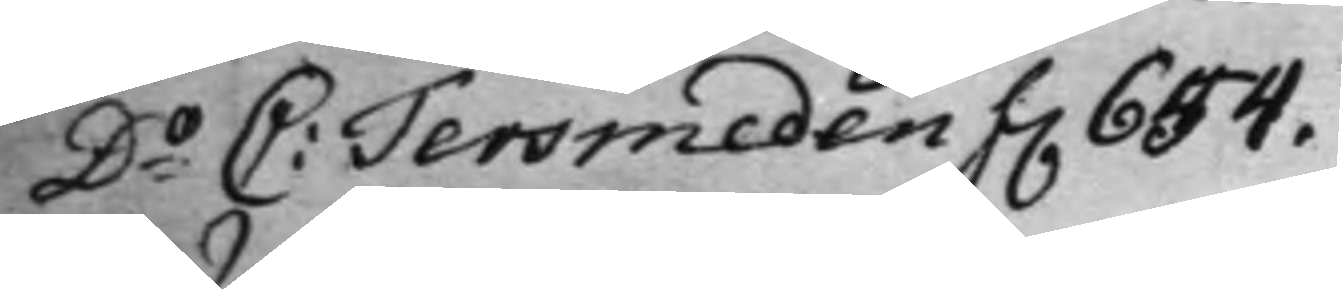Do C: Tersmeden f. 654.
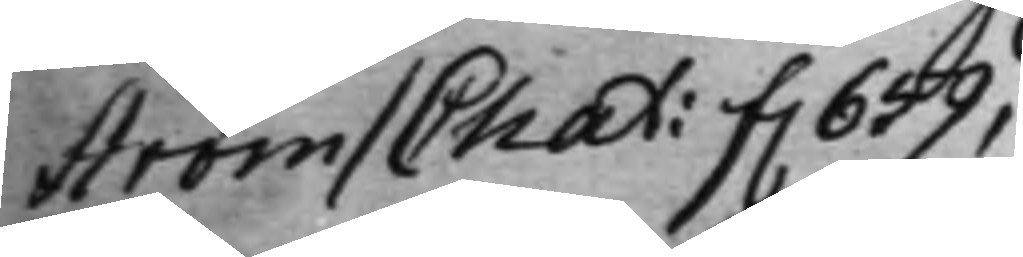Ström / Chat: f. 659,
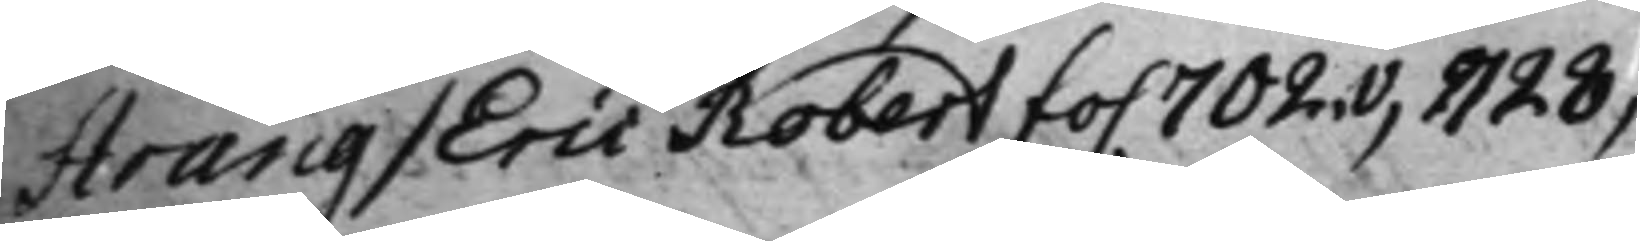Strang / Eric Robert fo. 702.v, 1128,
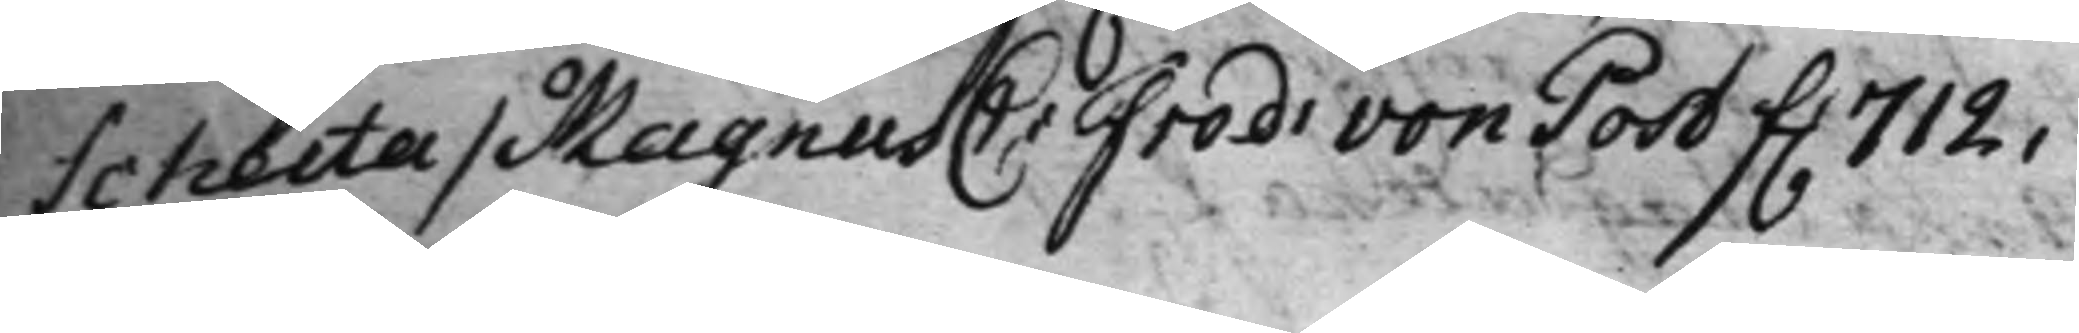Schecta / Magnus C: Fred: von Post f. 712,
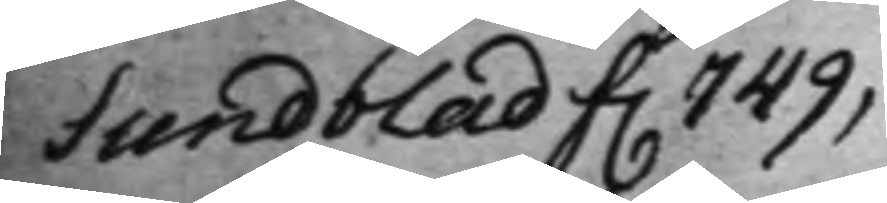Sundblad f. 749,
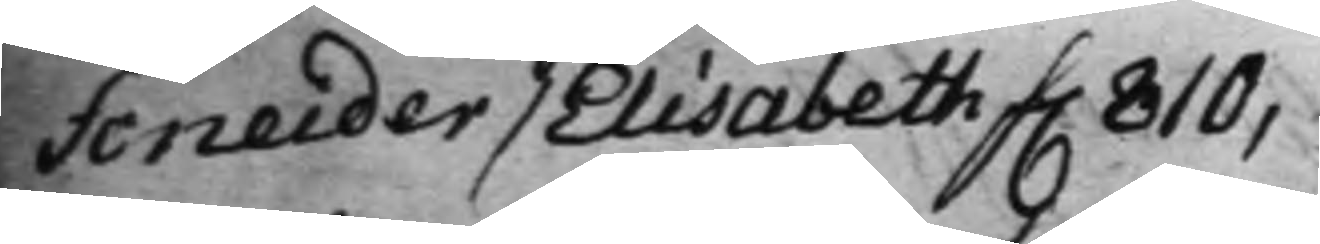Scneider / Elisabeth f. 810,
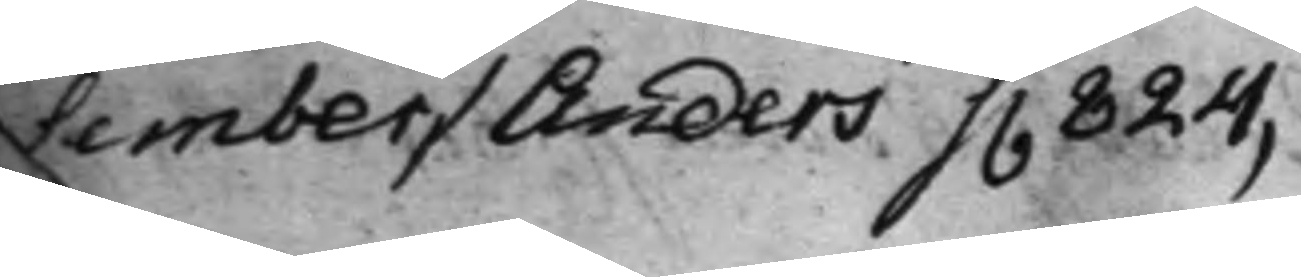Sember / Anders f. 824,
